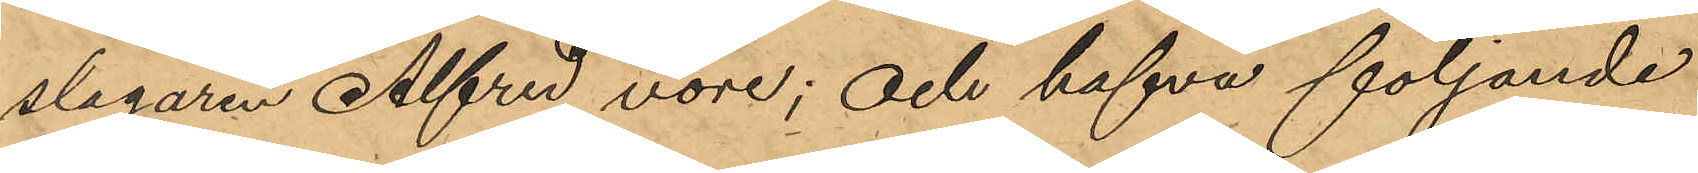slagaren Alfred vore; och hafva följande
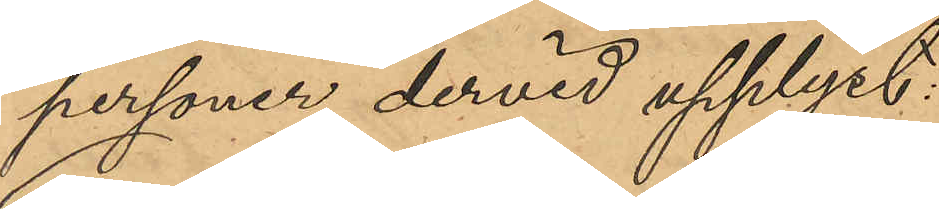personer dervid upplyst:
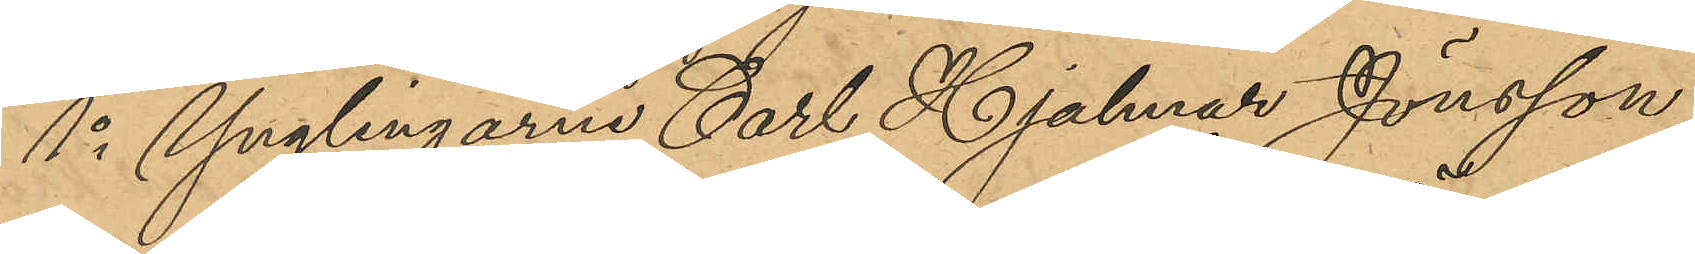1o Ynglingarne Carl Hjalmar Jönsson,
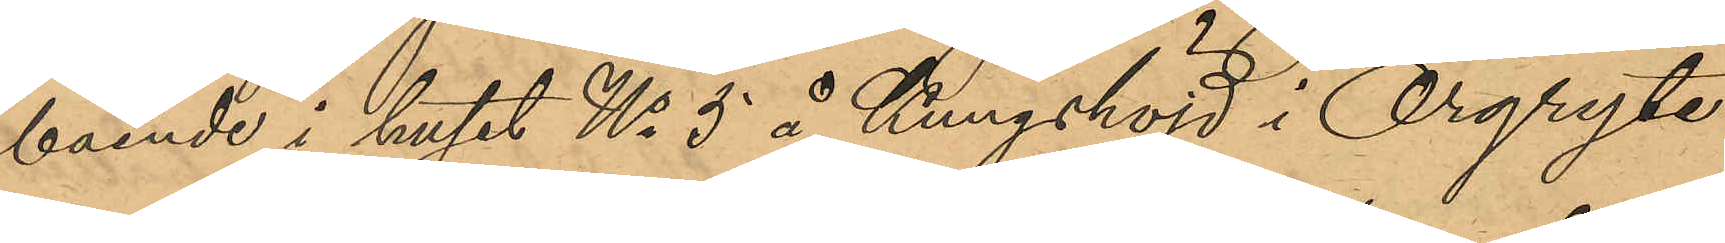boende i huset No 5 å Kungshöjd i Örgryte
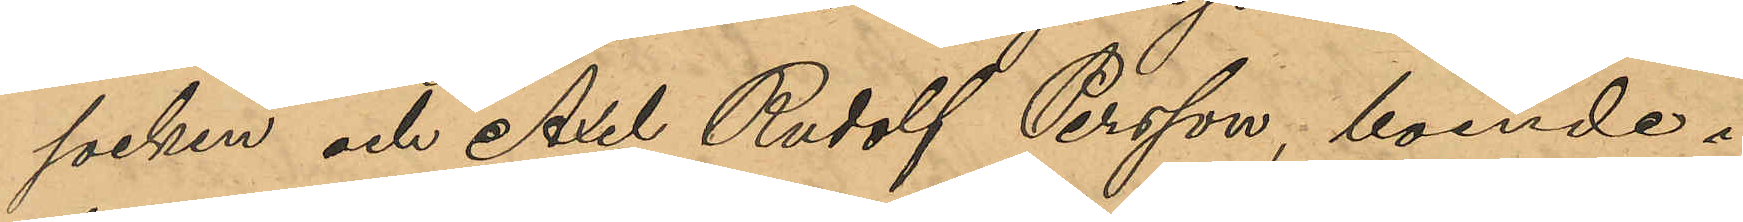socken och Axel Rudolf Persson, boende i
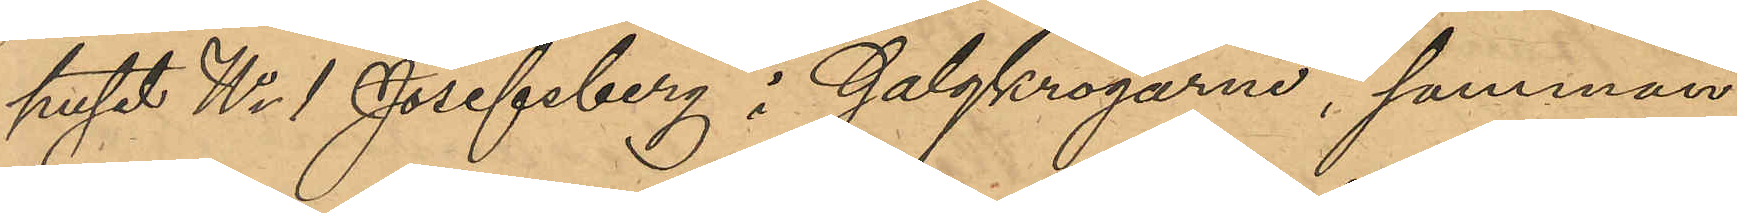huset No 1 Josefsberg i Galgkrogarne, samman¬
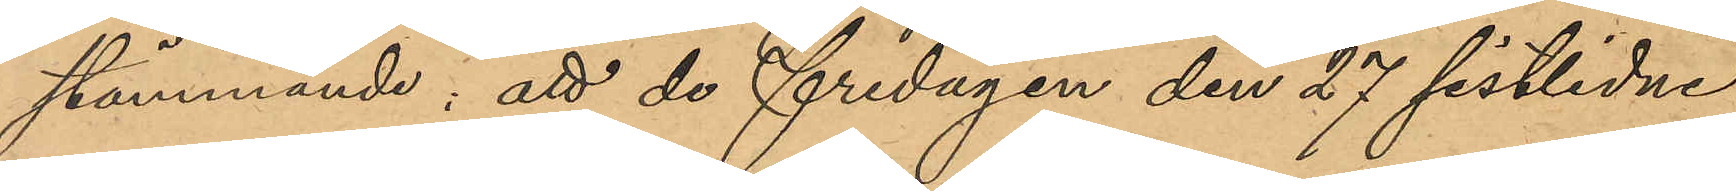stämmande, att de fredagen den 27 sistlidne
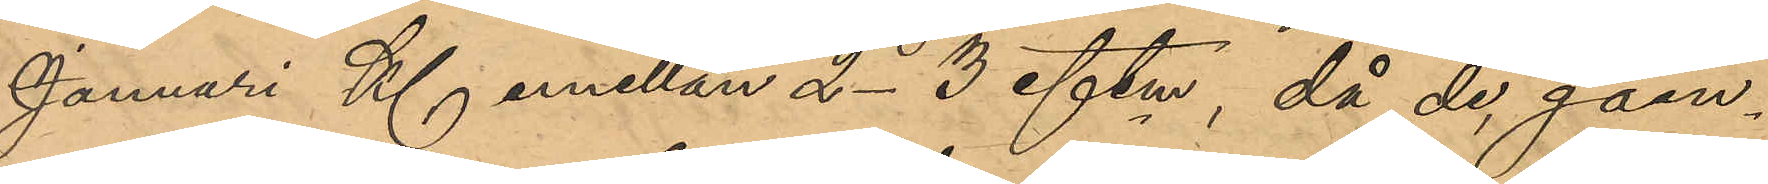Januari Kl emellan 2-3 eftm, då de, gåen¬
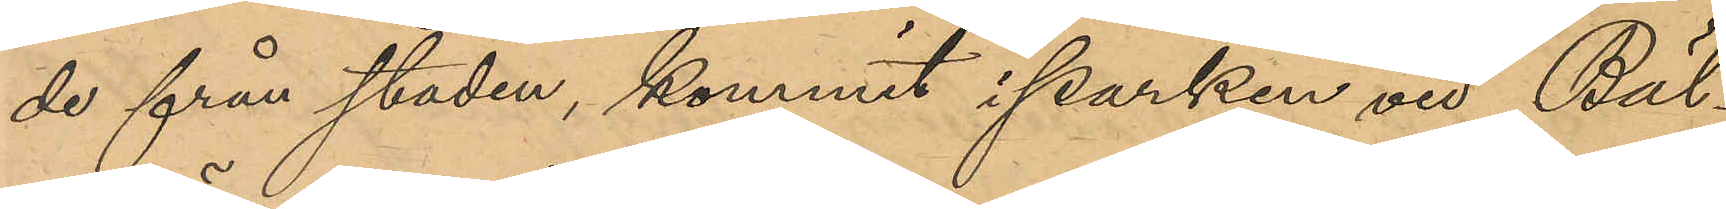de från staden, kommit i parken vid Bäl¬
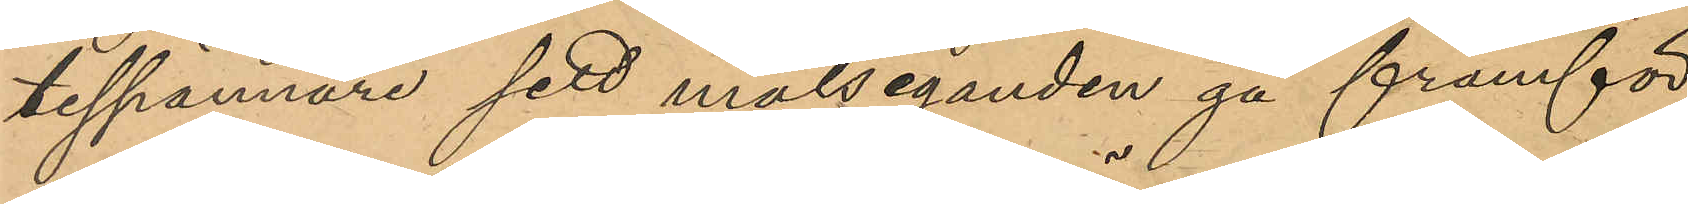tesspännare sett målseganden gå framför
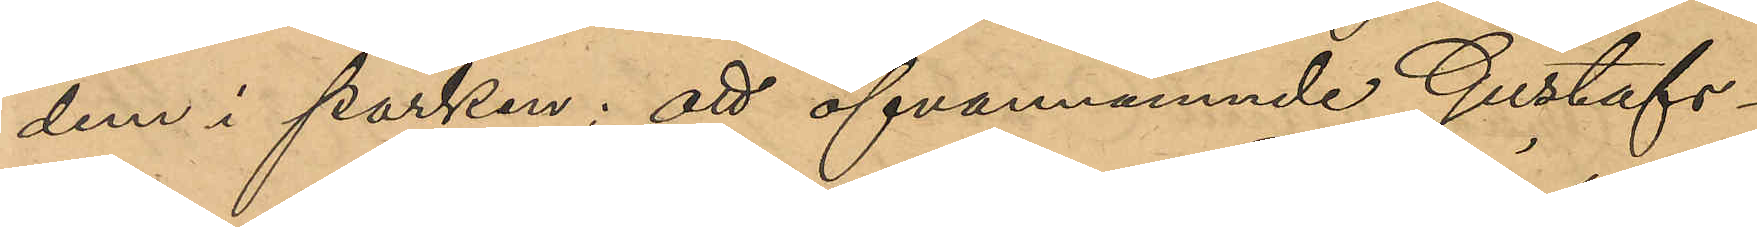dem i parken; att ofvannämnde Gustafs¬
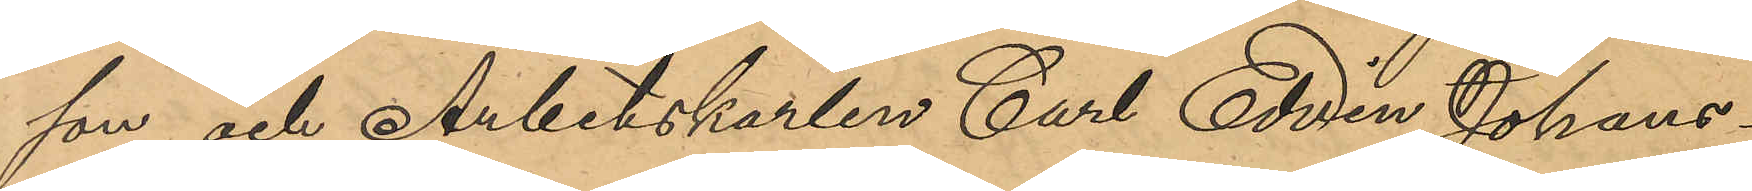son och Arbetskarlen Carl Edvin Johans¬
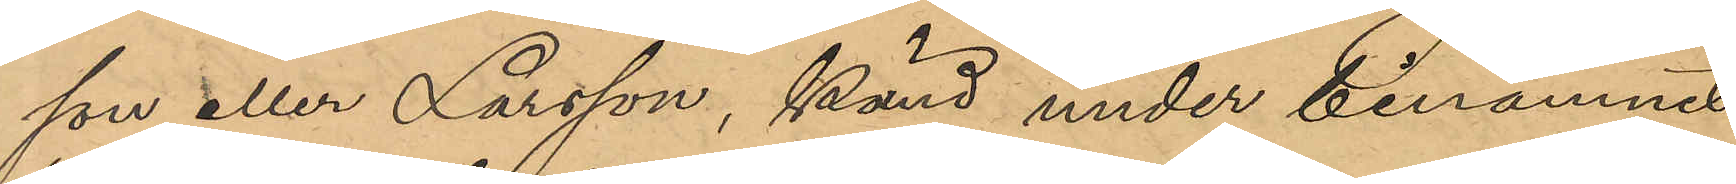son eller Larsson, känd under binamnet
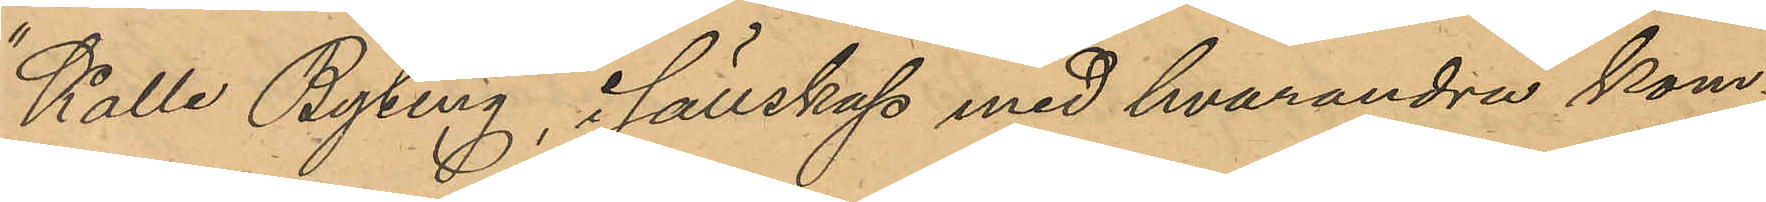"Kalle Byting", i sällskap med hvarandra kom¬
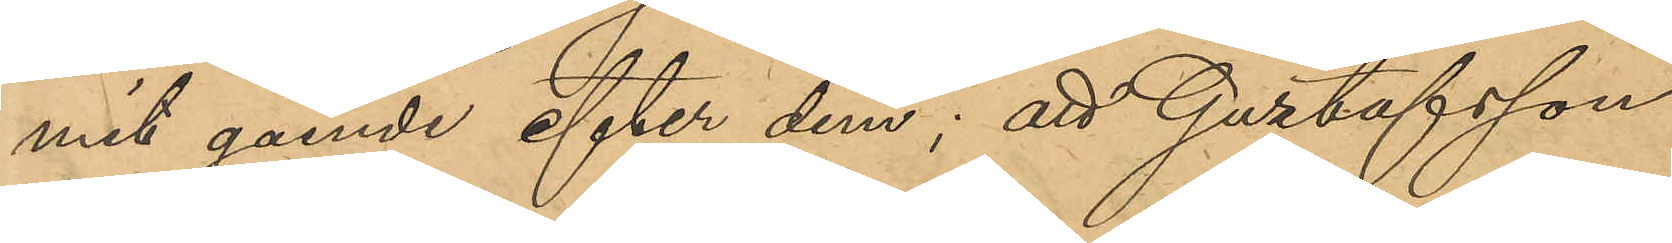mit gående efter dem; att Gustafsson
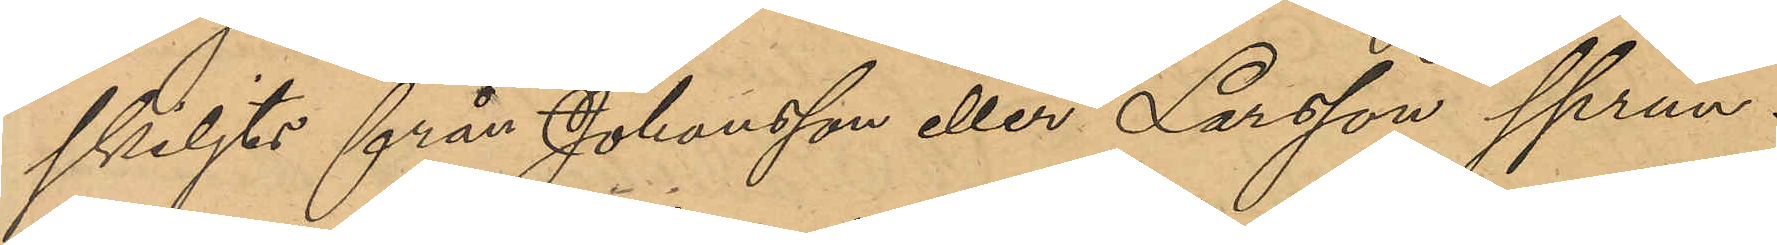skiljts från Johansson eller Larsson sprun¬
